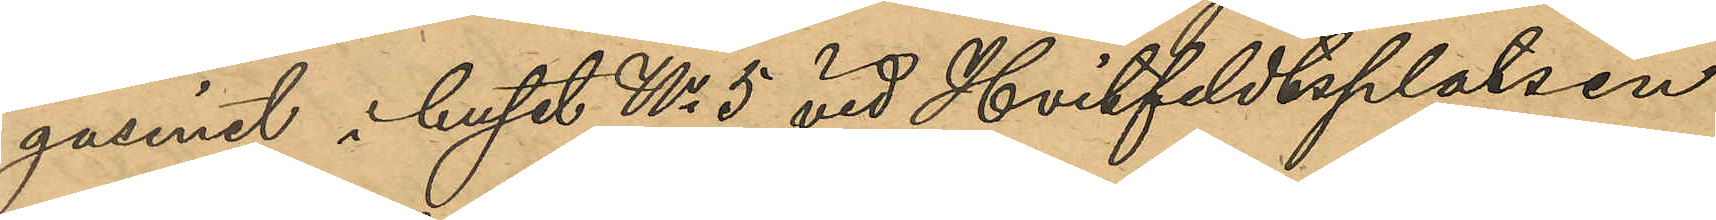gasinet i huset No 5 vid Hvitfeldtsplatsen
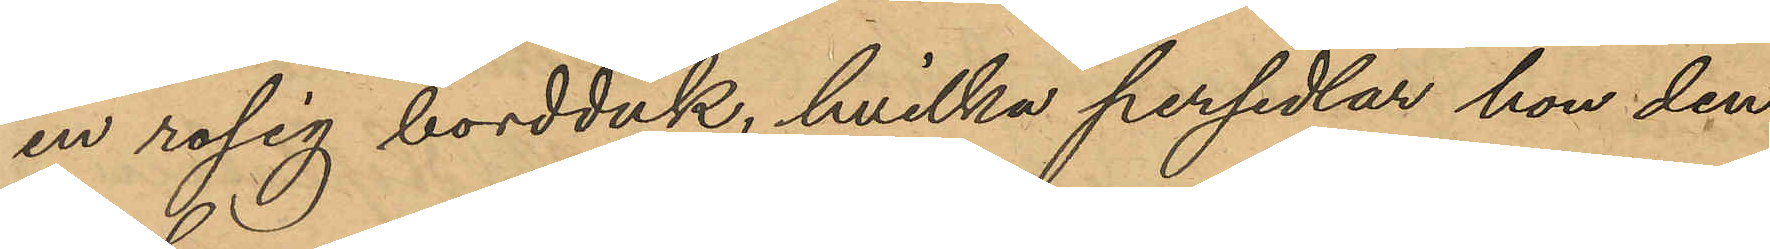en rosig bordduk, hvilka persedlar hon den
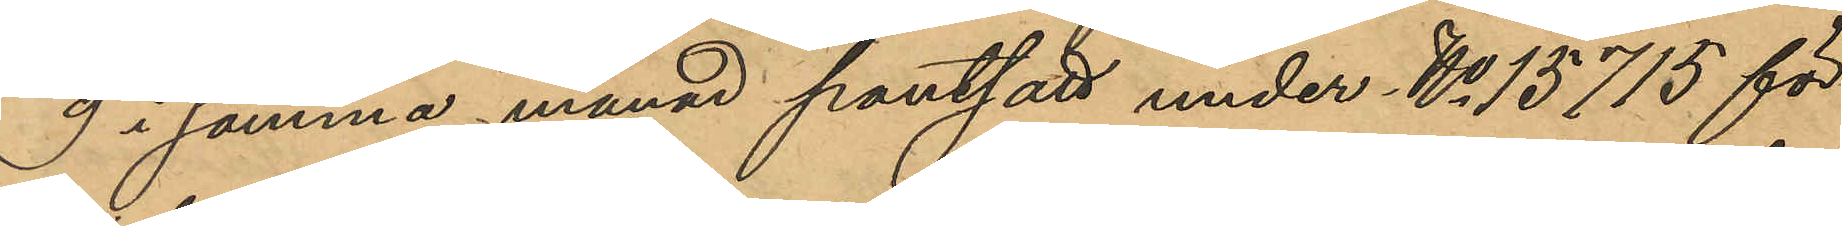9 i samma månad pantsatt under No 15715 för
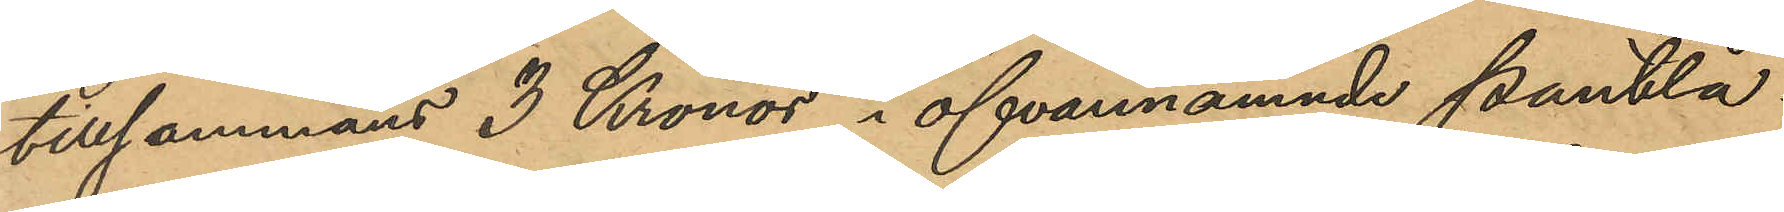tillsammans 3 Kronor i ofvannämnde pantlå¬
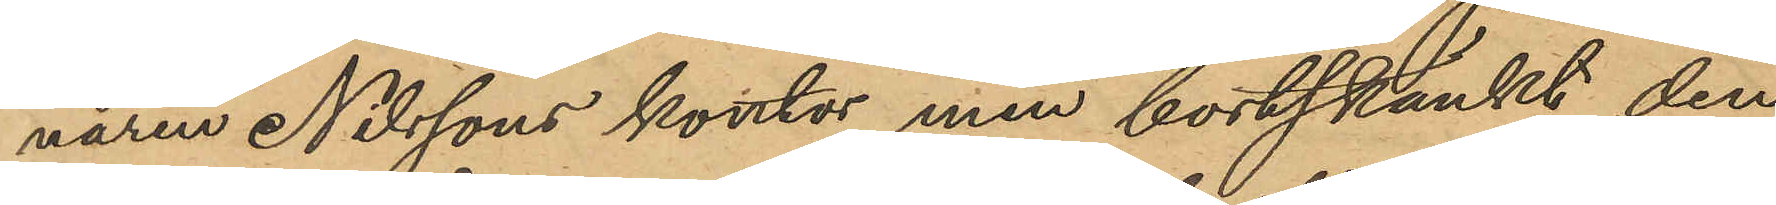naren Nilssons kontor men bortskänkt den
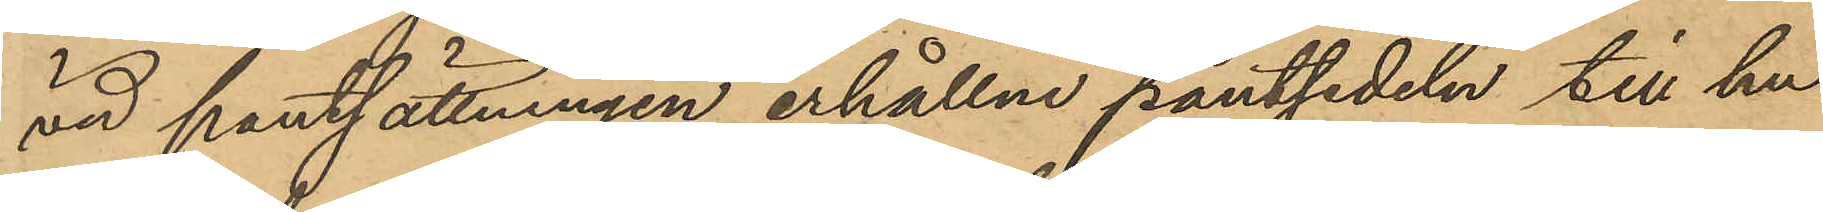vid pantsättningen erhållna pantsedel till hu¬
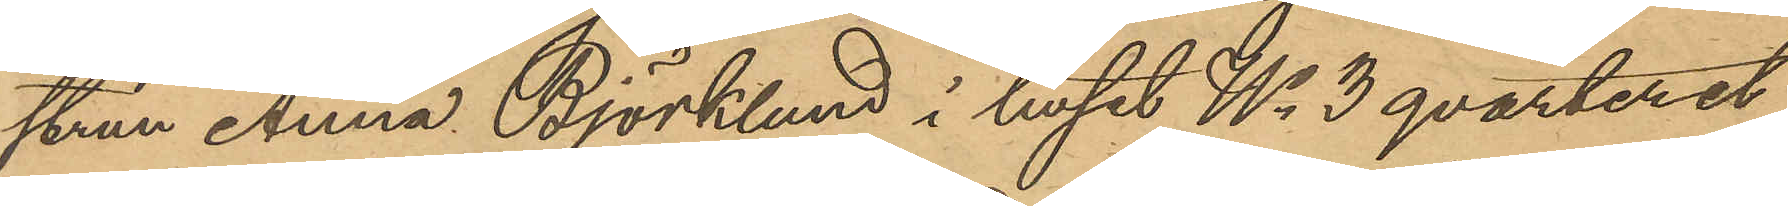trun Anna Björklund i huset No 3 qvarteret
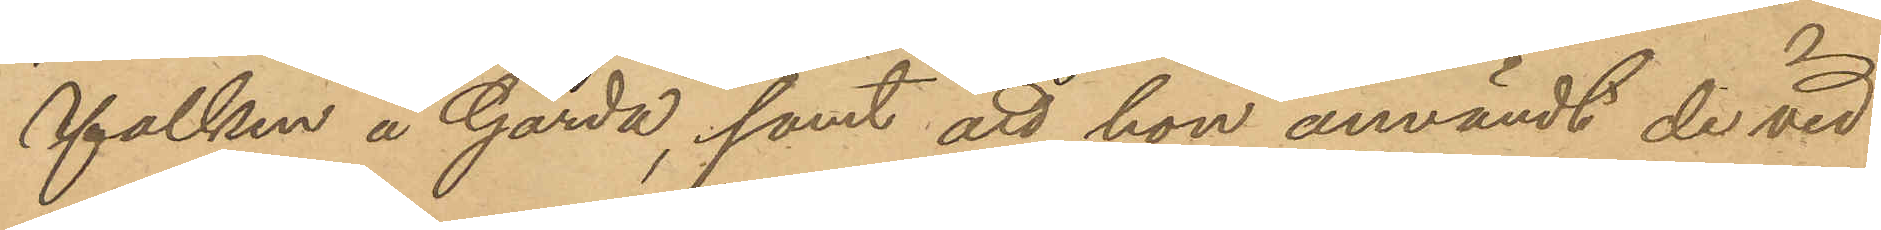Falken å Gårda, samt att hon användt de vid
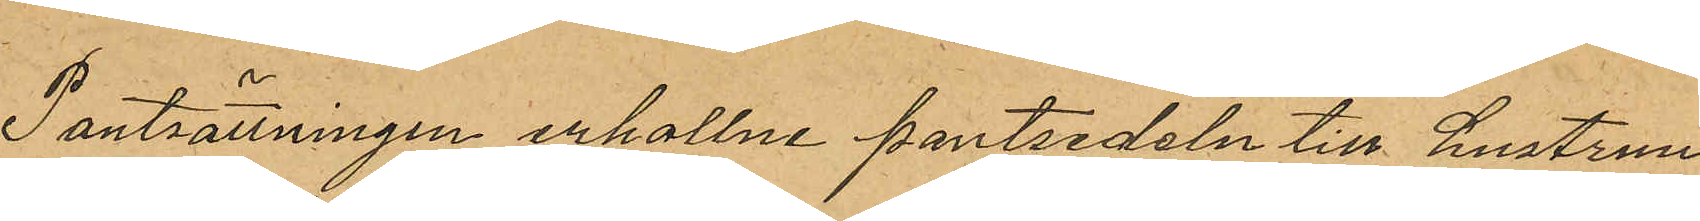Pantsättningen erhållne pantsedeln till hustrun
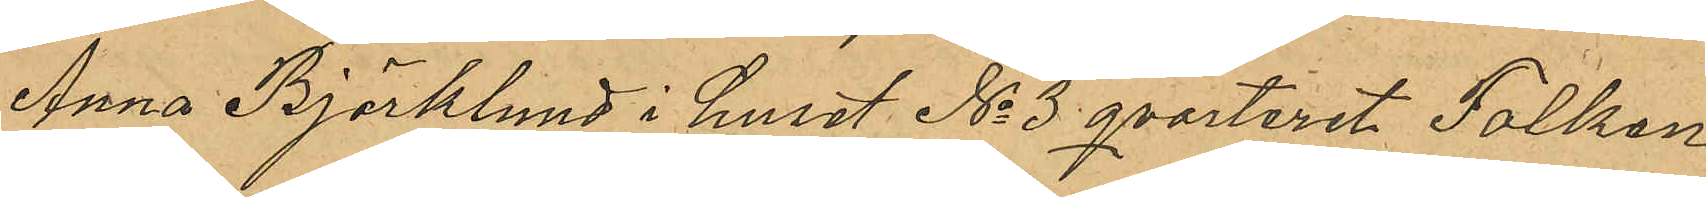Anna Björklund i huset No 3 qvarteret Falken
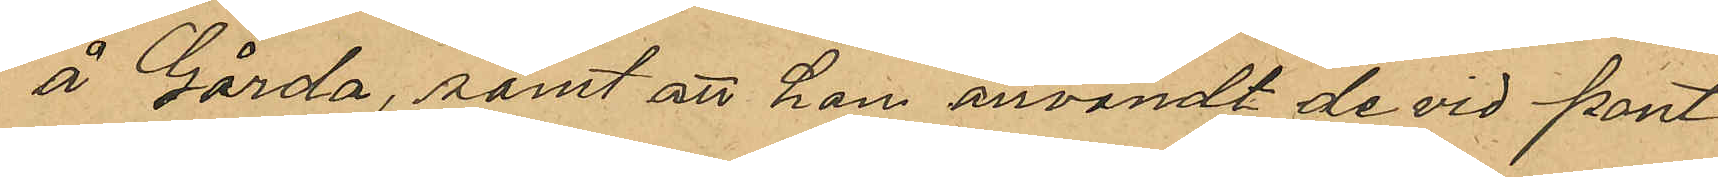å Gårda, samt att hon användt de vid pant¬
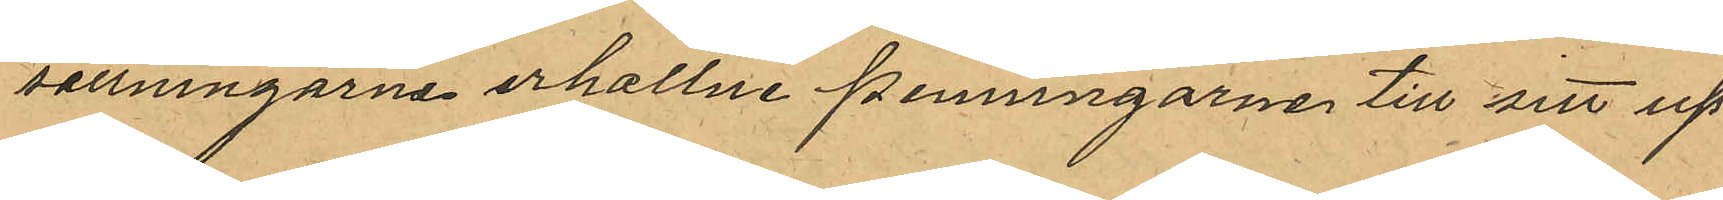sättningarna erhållne penningarna till sitt up¬
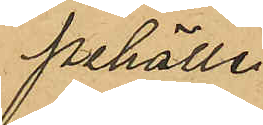pehälle.
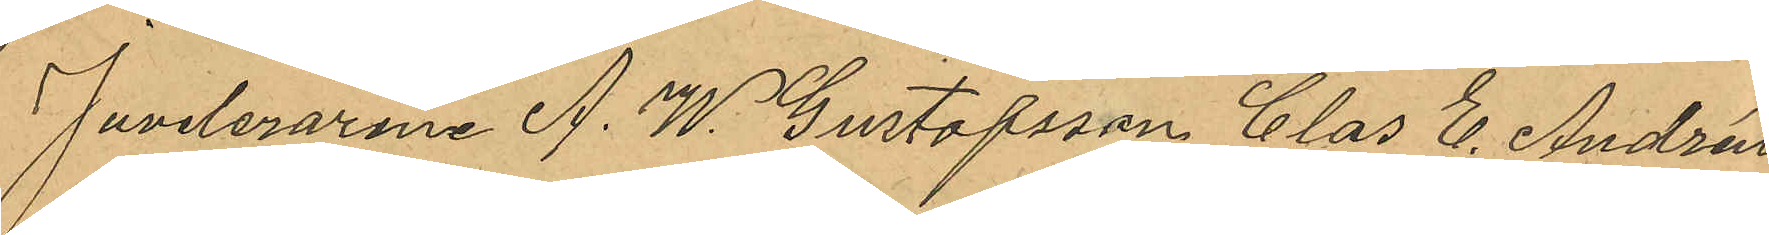Juveleraran A. W. Gustafsson, Claes E. Andrén
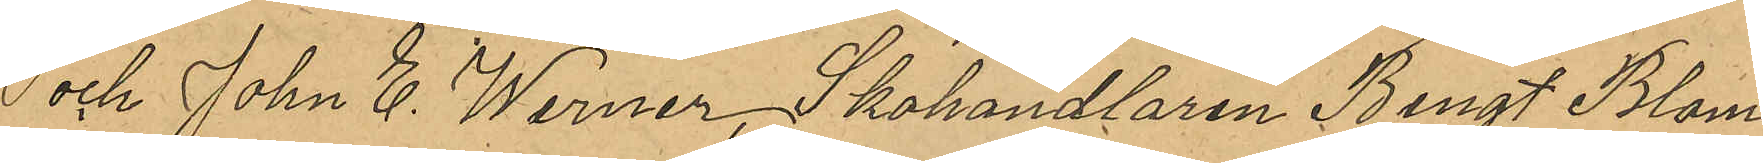och John E. Werner, Skohandlaren Bengt Blom¬
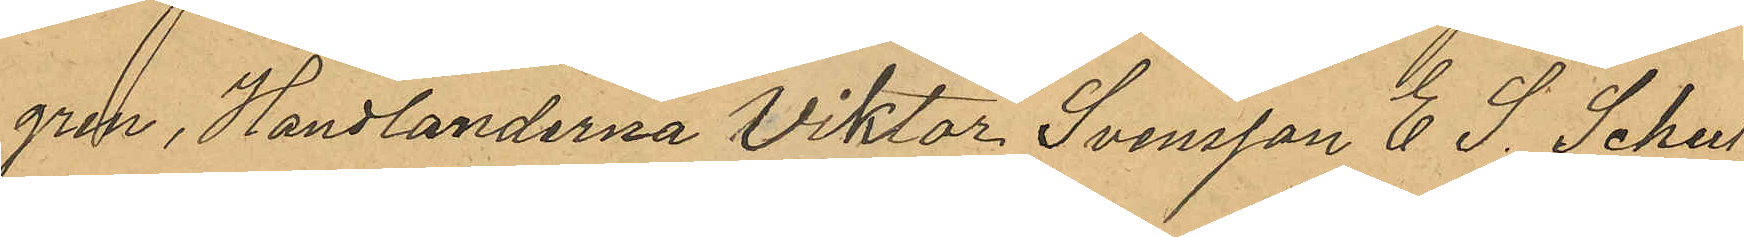-gren, Handlanderna Viktor Svensson, E S. Schul¬
